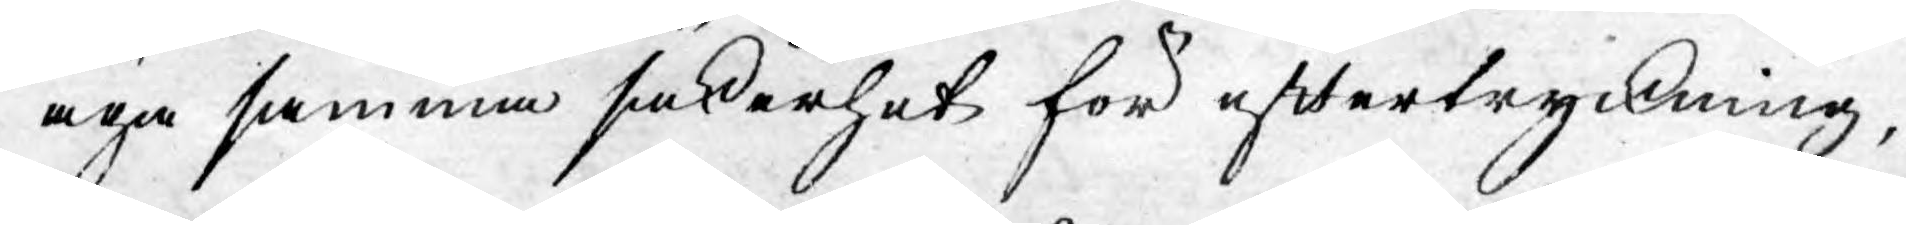äga samma säkerhet för eftertryckning,
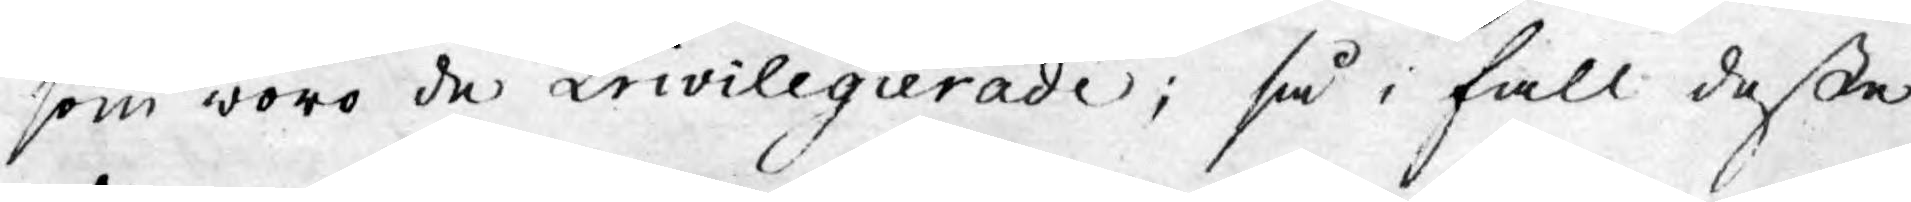som wore de Privilegierade; så i fall desse
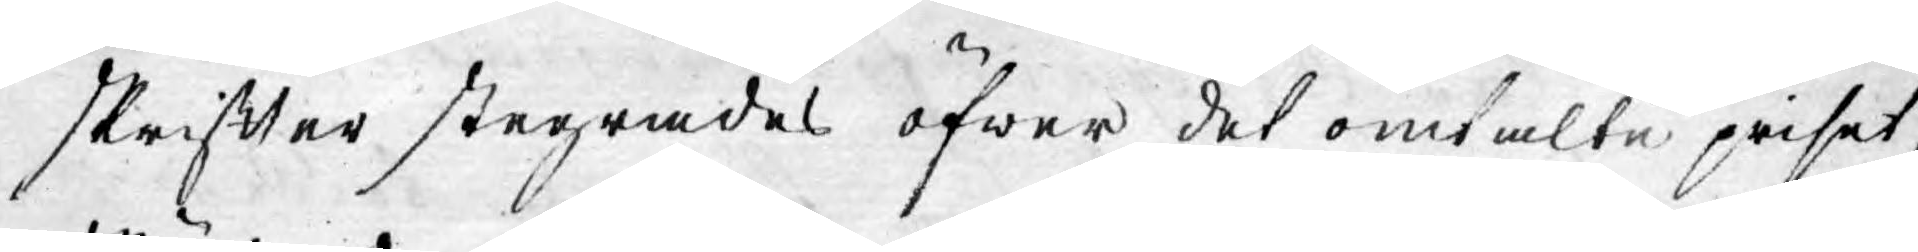skrifter stegrades öfwer det omtalte priset,
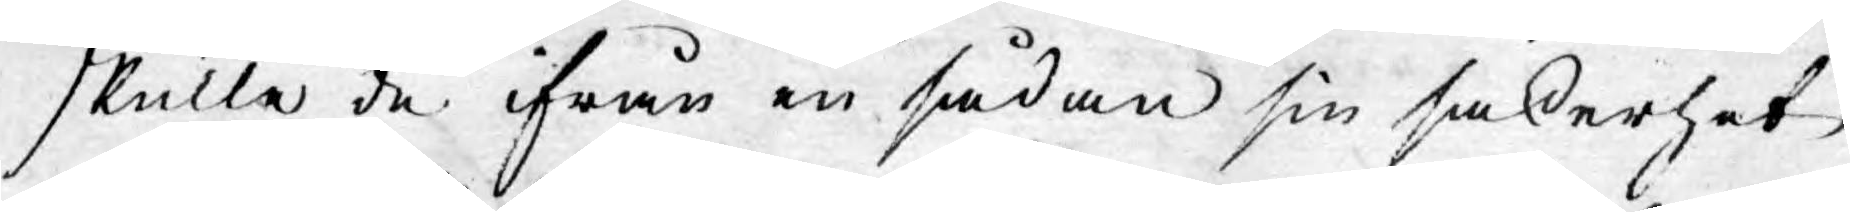skulle de ifrån en sådan sin säkerhet
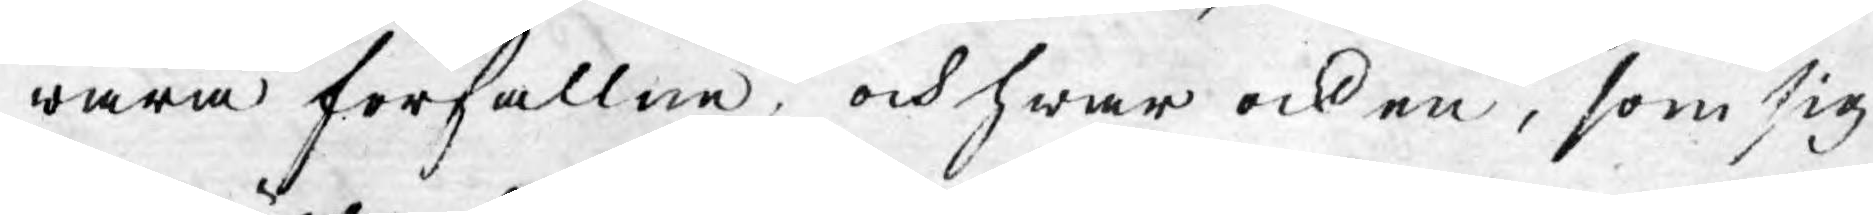wara förfallne, och hwar ock en, som sig
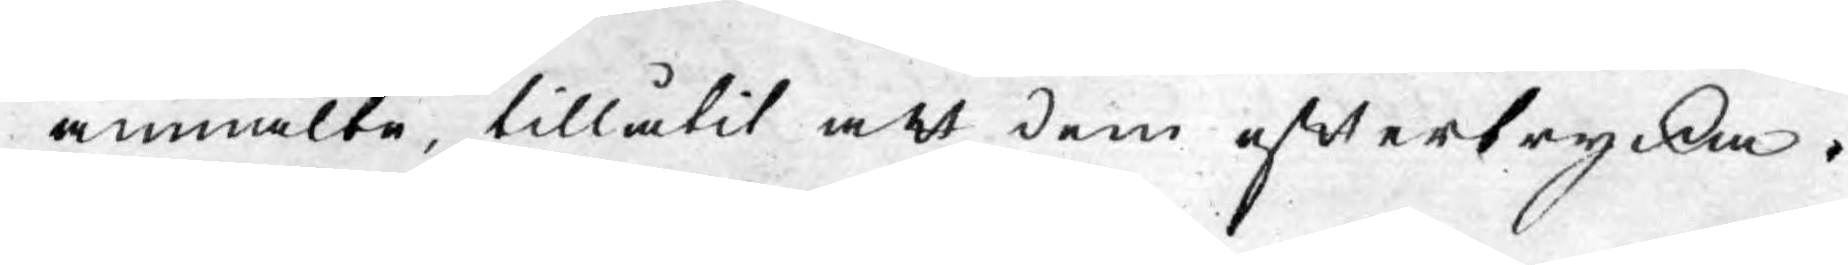anmälte, tillåtit att dem eftertrycka.
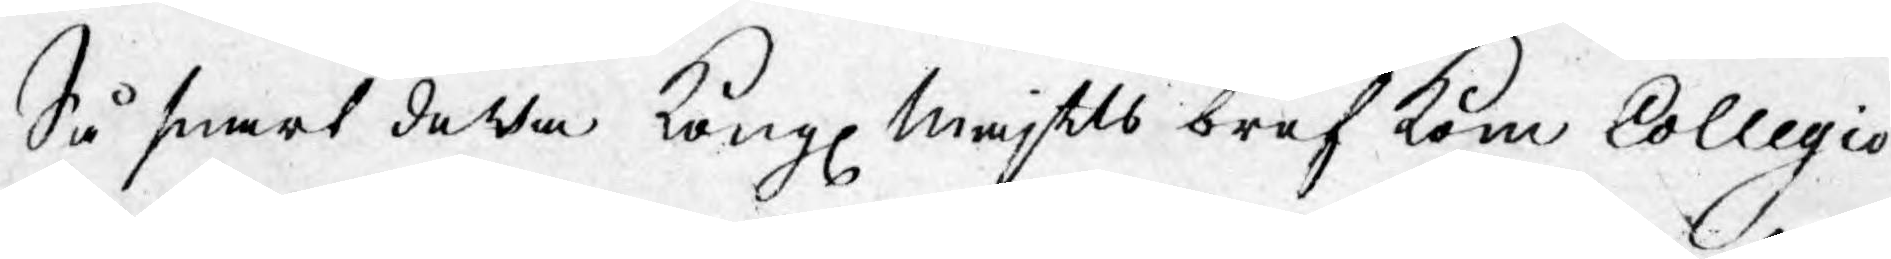Så snart detta Kongl. Maj:ts bref kom Collegio
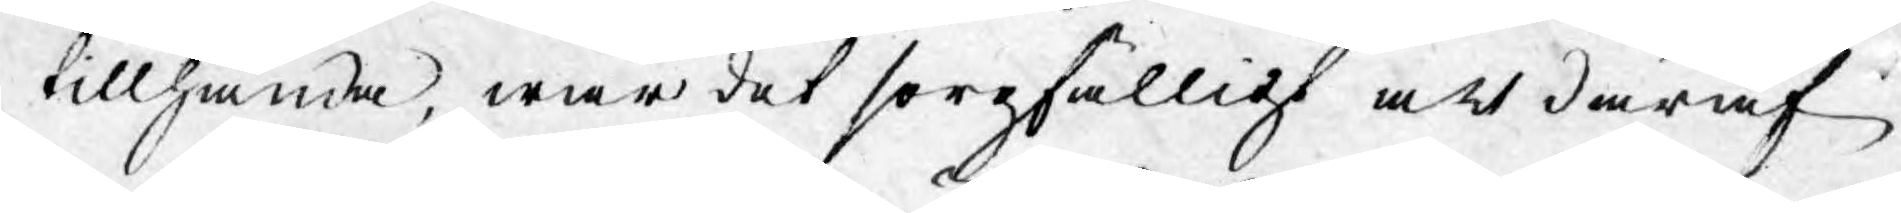tillhanda, war det sorgfälligt att däraf
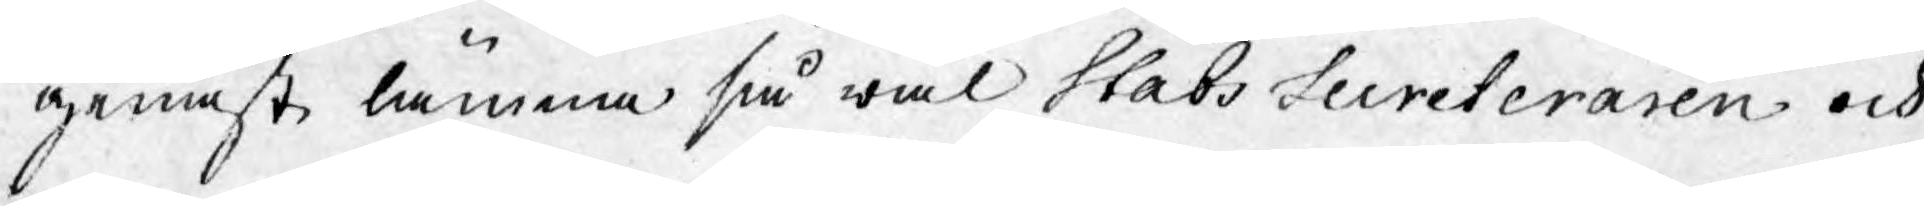genast lämna så wäl Stats Secreteraren och
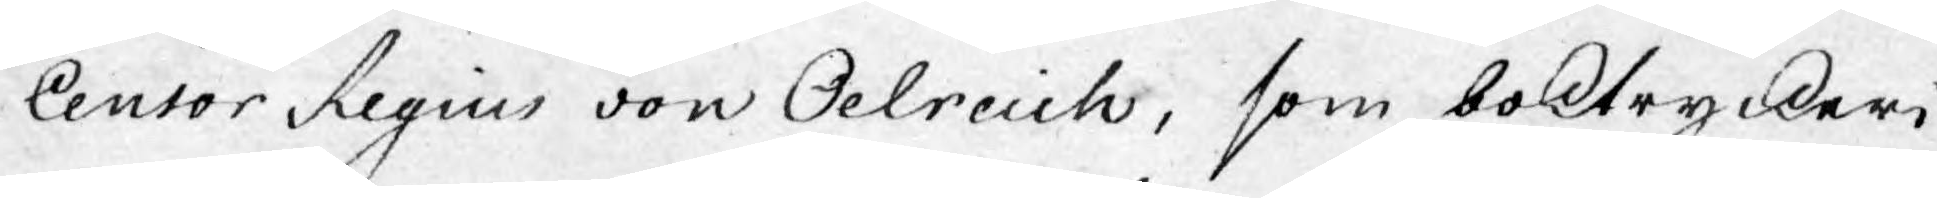Censor Legius von Oelreich, som boktryckeri
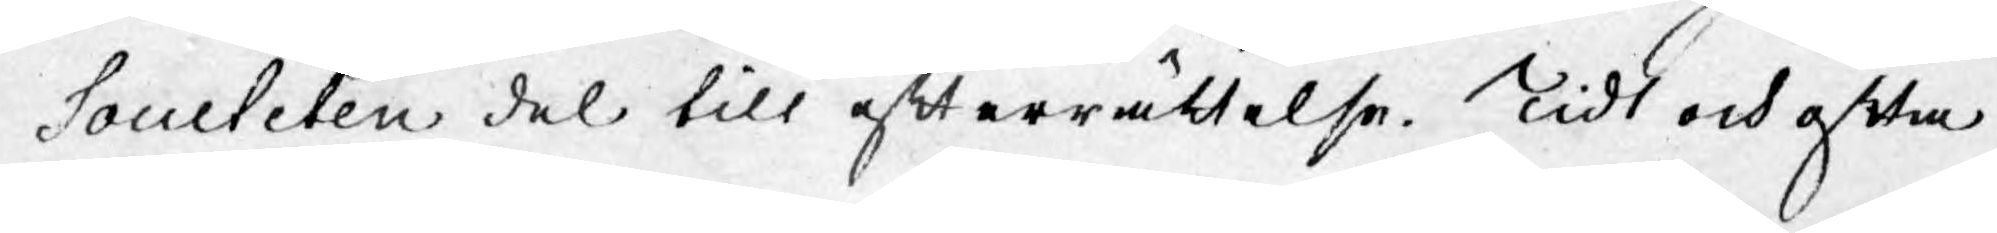Societeten del till efterrättelse. Tidt och ofta
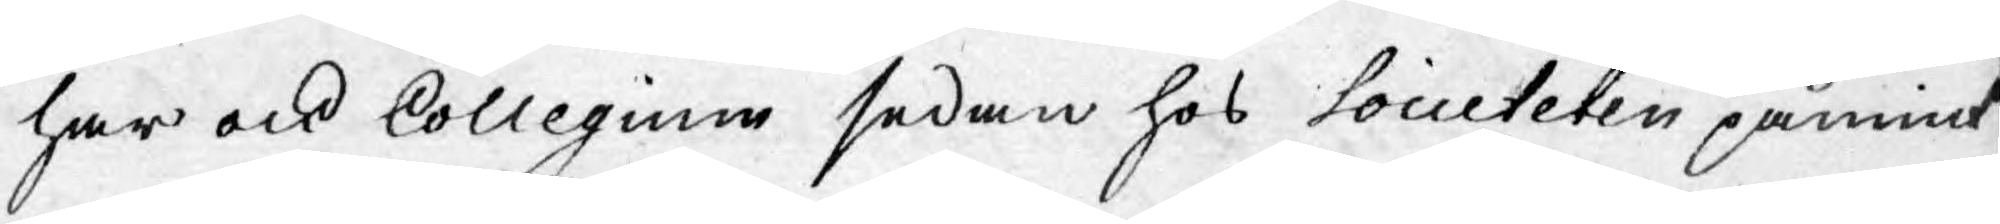har ock Collegium sedan hos Societeten påmint
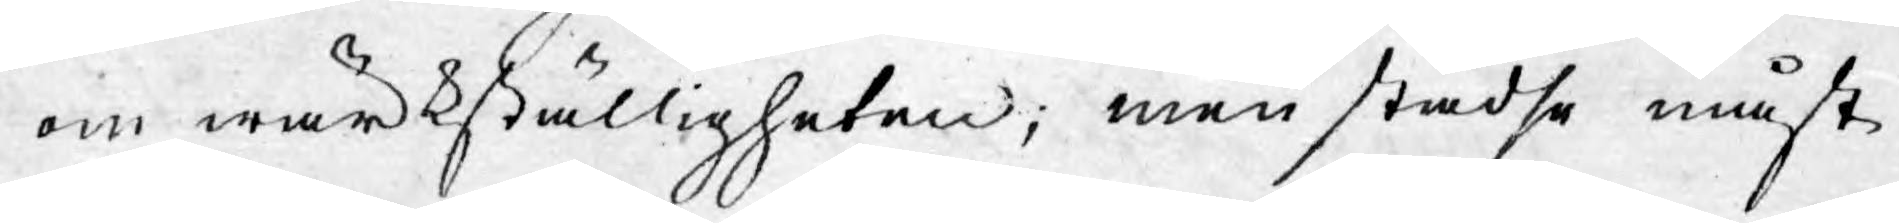om wärkställigheten, men städse måst
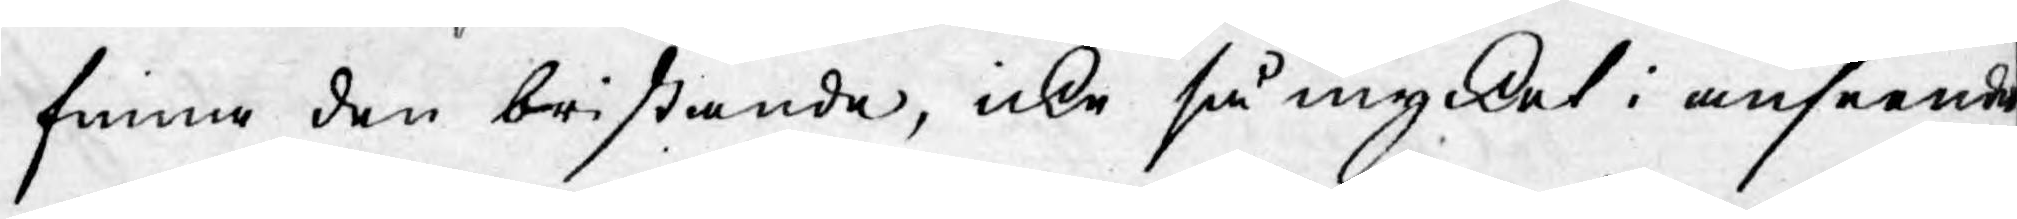finna den bristande, icke så mycket i anseende
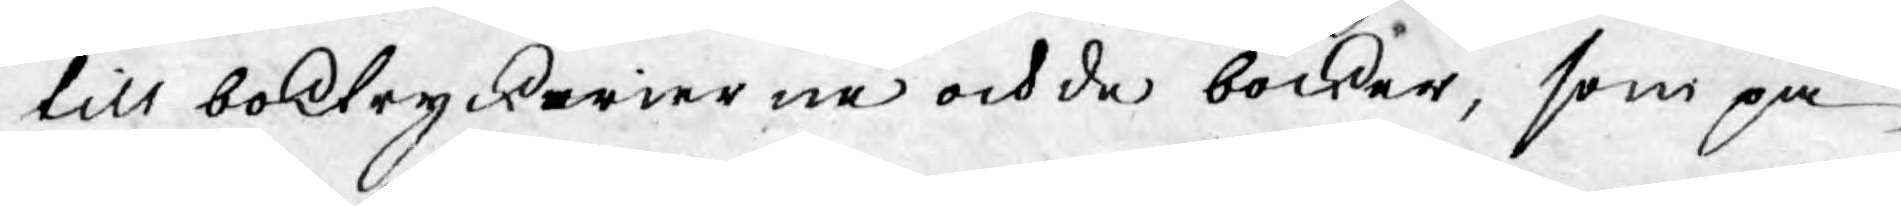till boktryckerierne och de böcker, som på
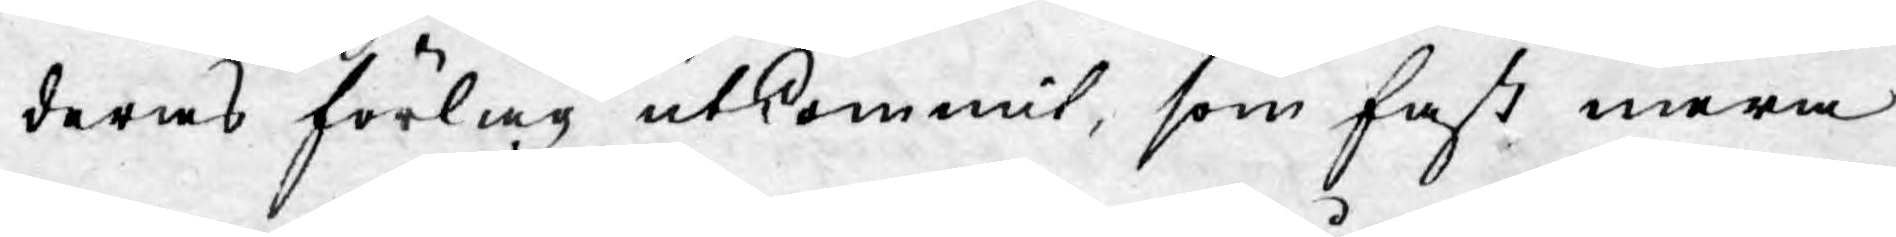deras förlag utkommit, som fast mera
